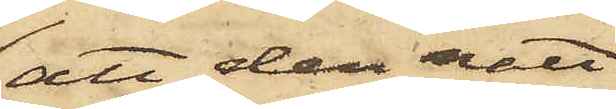att den natt
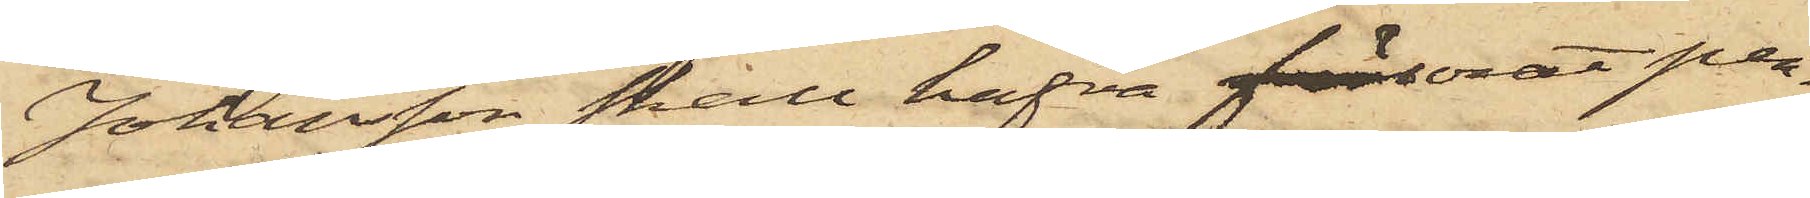Johansson skall hafva förlorat pen¬
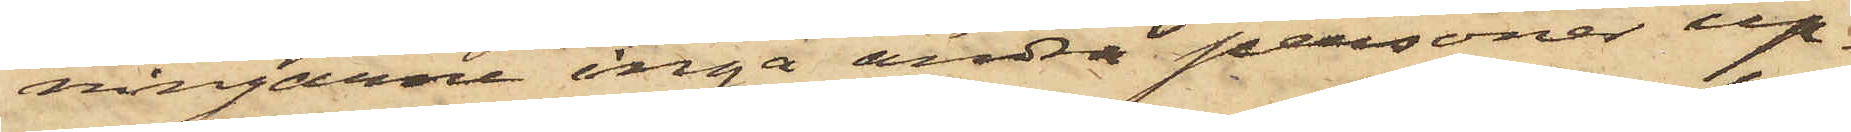ningarne inga andra personer up¬
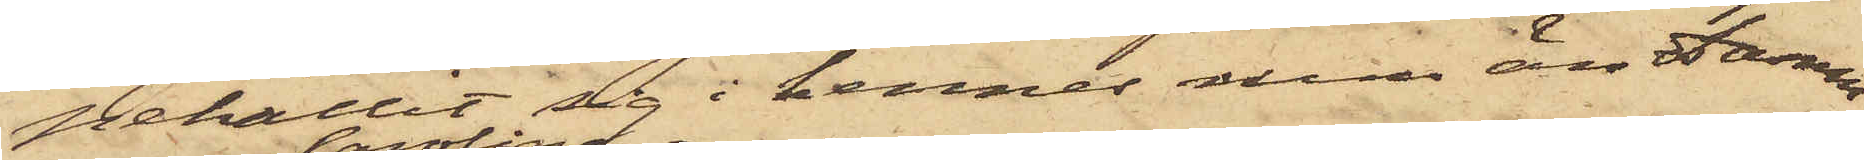pehållit sig i hennes rum än Damm
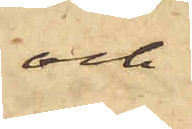och
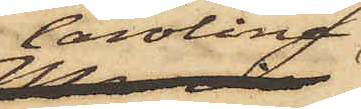Carolina
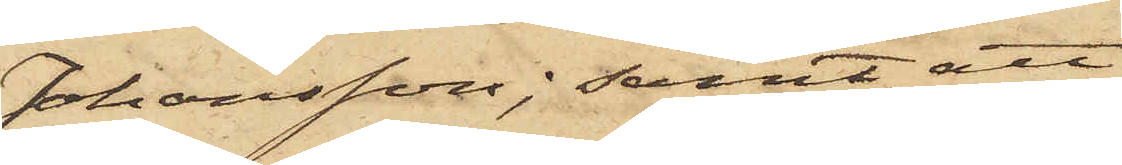Johansson; samt att
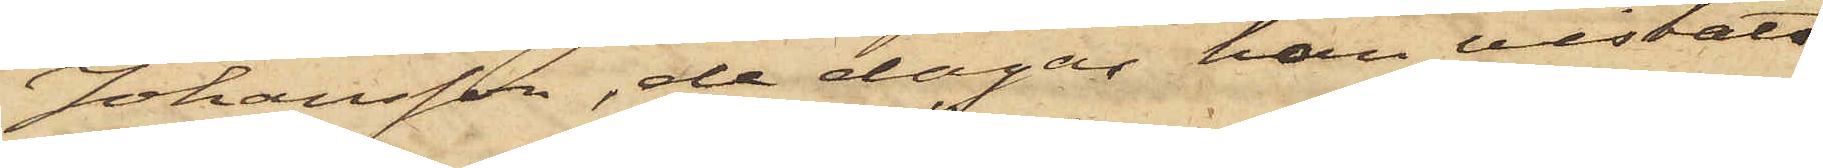Johansson, de dagar han vistats
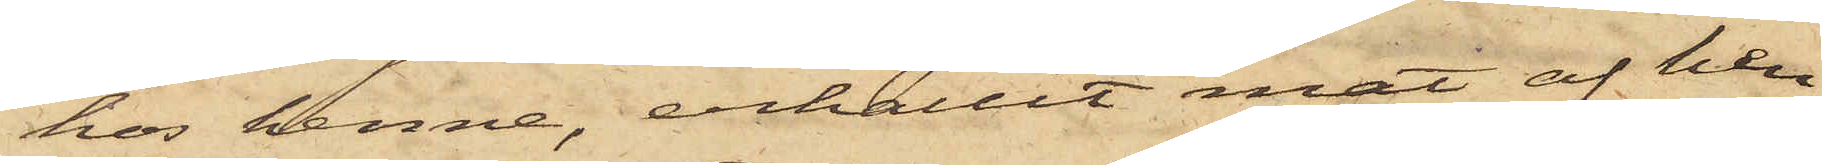hos henne, erhållit mat af hen¬
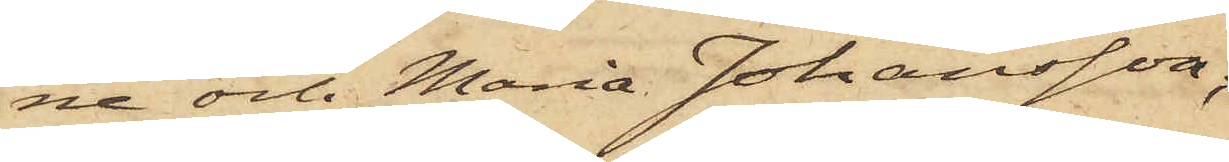ne och Maria Johansson;
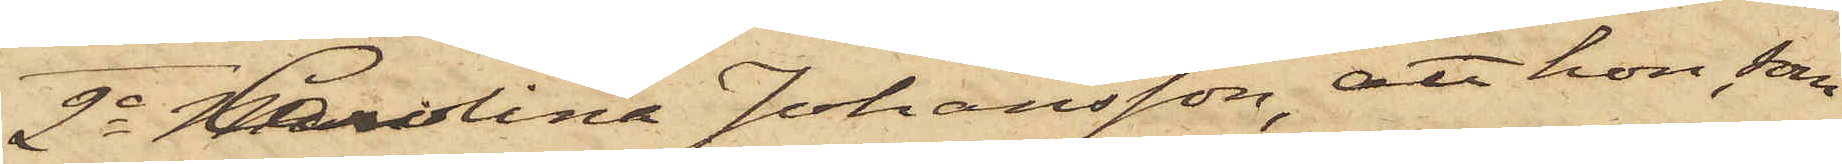2o Carolina Johansson, att hon, som
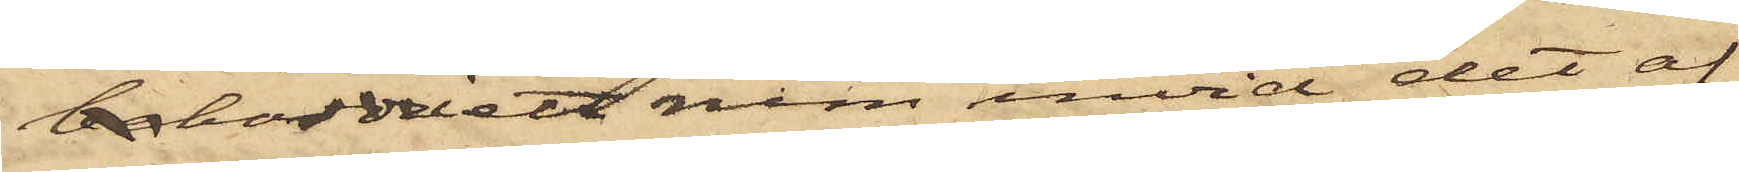beborde i ett rum invid det af
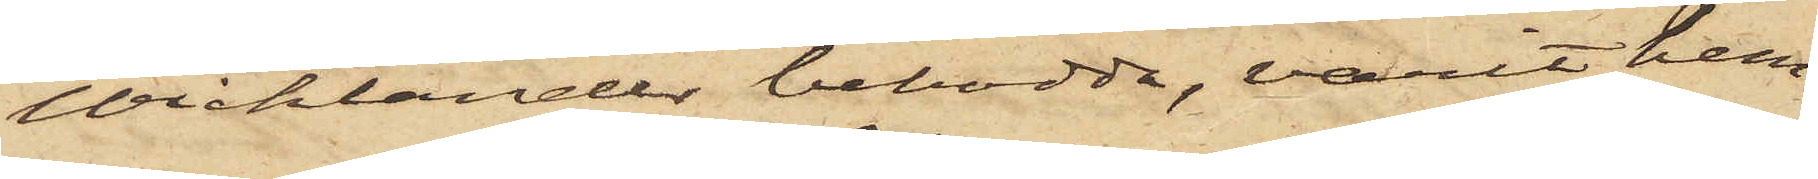Wicklander bebodda, varit hem¬
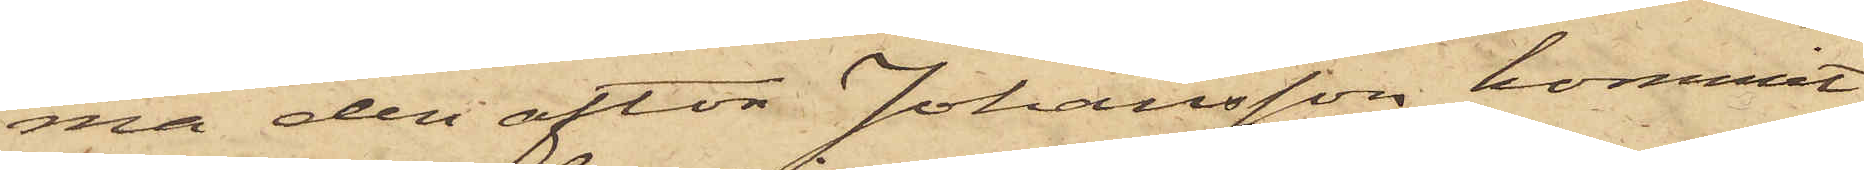ma den afton Johansson kommit
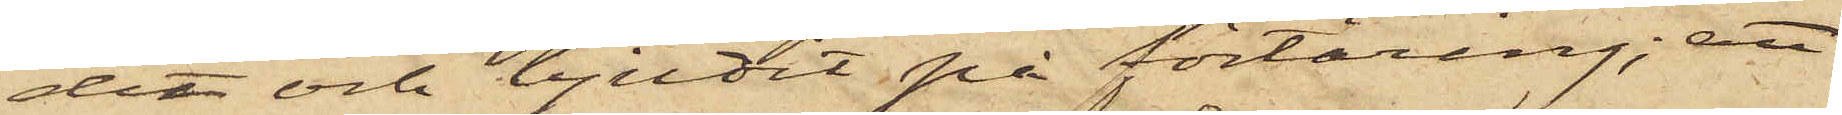det och bjudit på förtäring; att
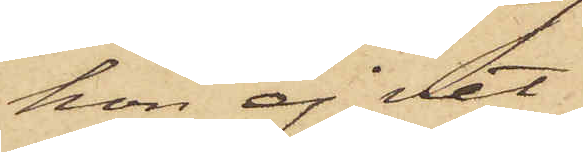hon ej vet
